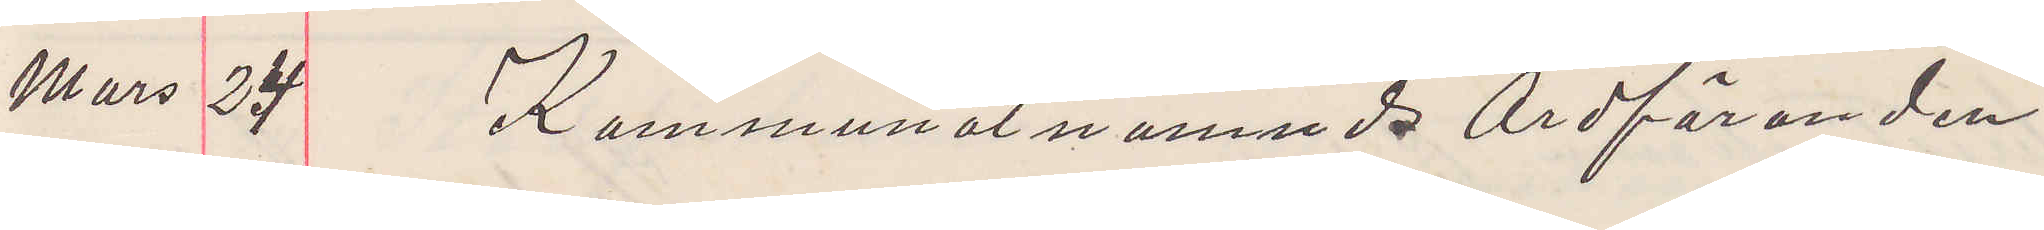Mars 24 Kammunalnämnds Ordföranden
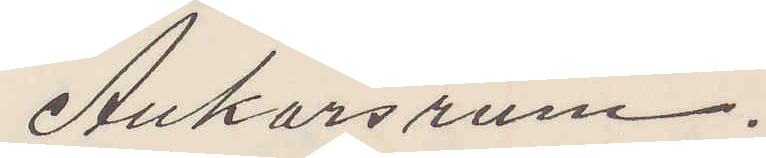Ankarsrum.
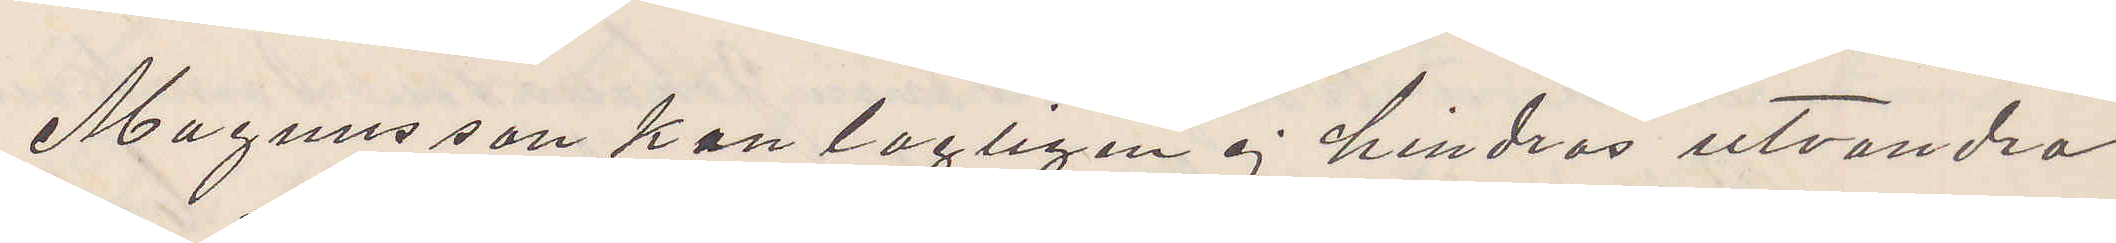Magnusson kan lagligen ej hindras utvandra
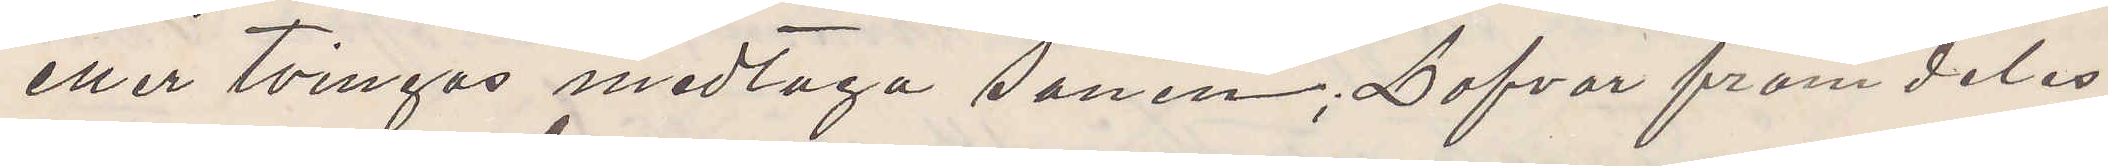eller tvingas medtaga sonen; Lofvar framdeles
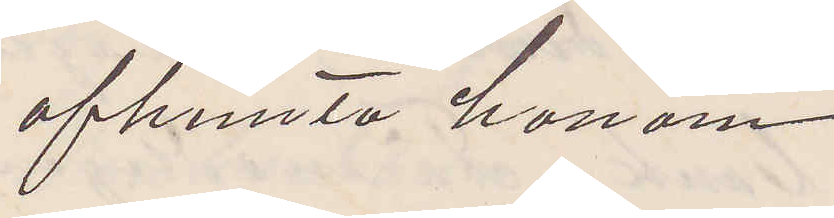afhemta honom.
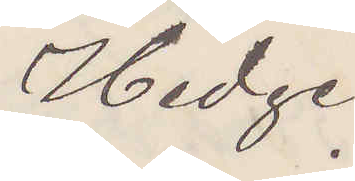Hedge
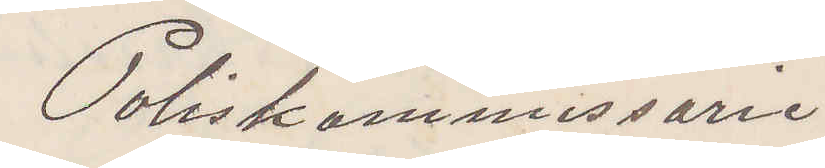Poliskommissarie
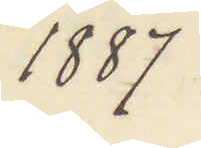1887
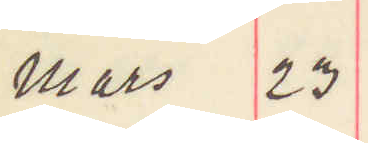Mars 23
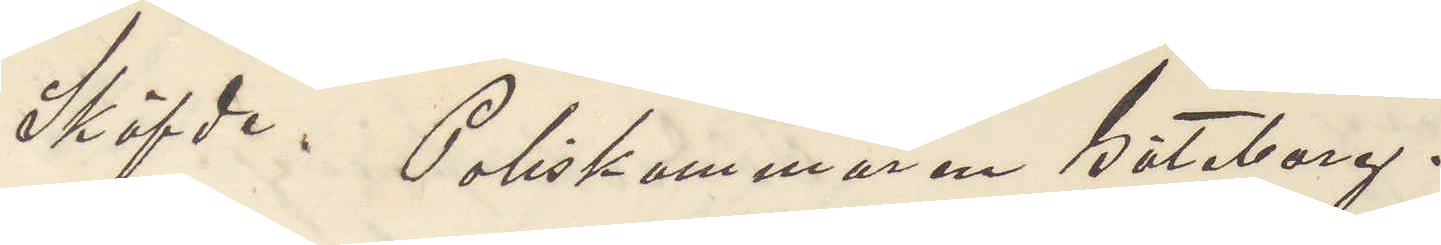Sköfde. Poliskammaren Göteborg.
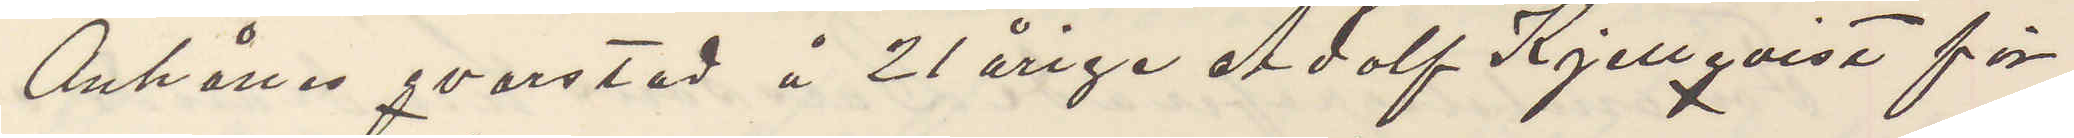Anhålles qvarstad å 21 årige Adolf Kjellqvist för
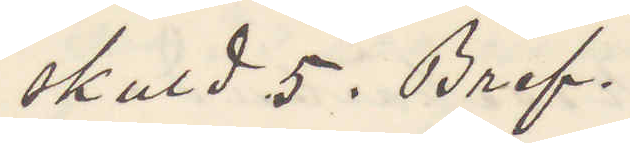skuld 5. Bref.
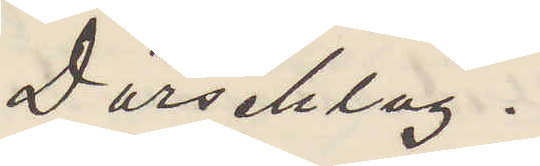Dörschlag.
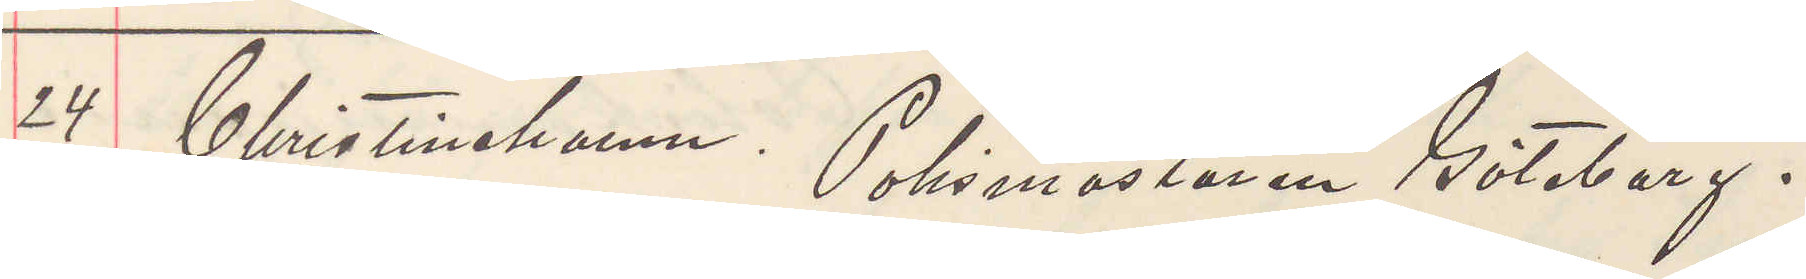24 Christinehamn. Polismästaren Göteborg.
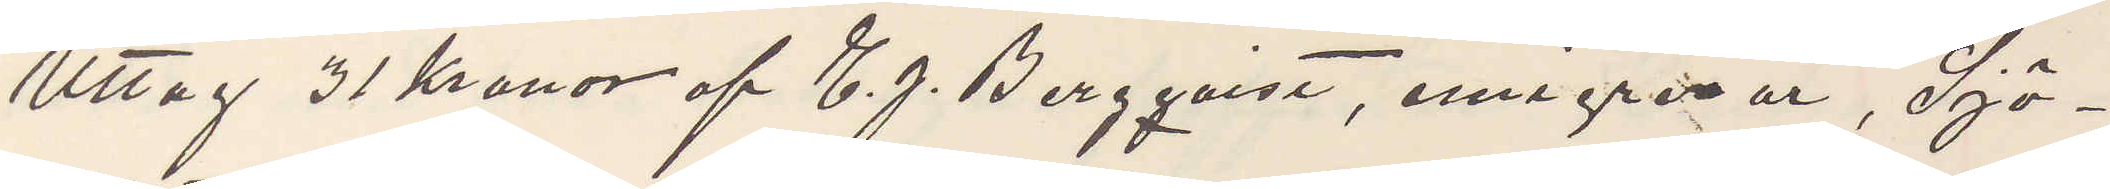Uttag 31 Kronor af C. J. Bergqvist, emigrerar, Sjö¬
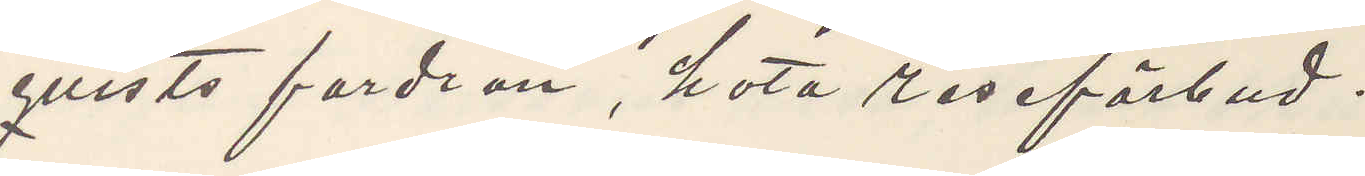qvists fordran, hota reseförbud.
